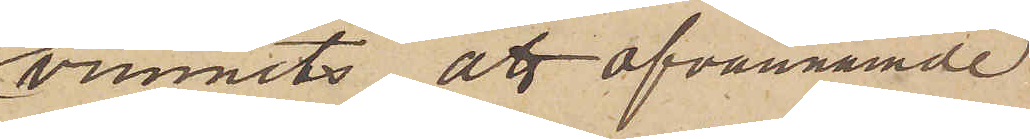vunnits att ofvannämnde
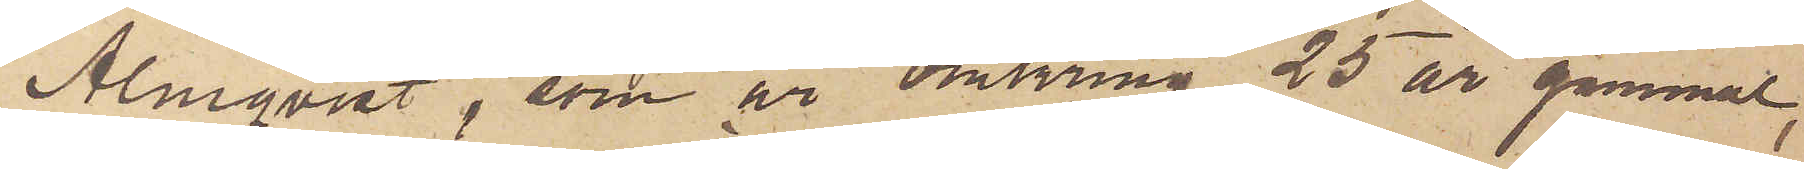Almqvist, som är omkring 25 år gammal,
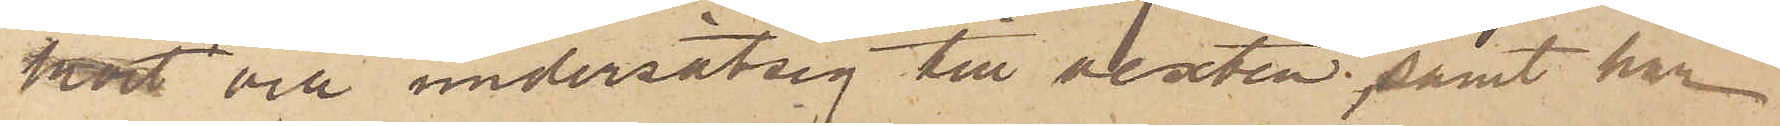kort och undersätsig till vexten; samt har
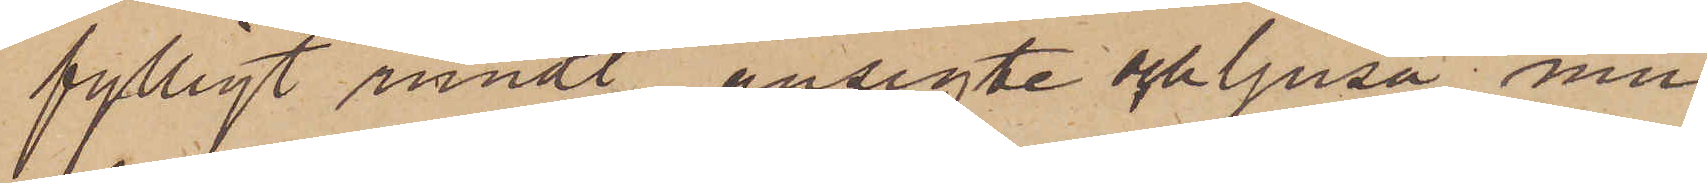fylligt rundt ansigte och ljusa mu¬
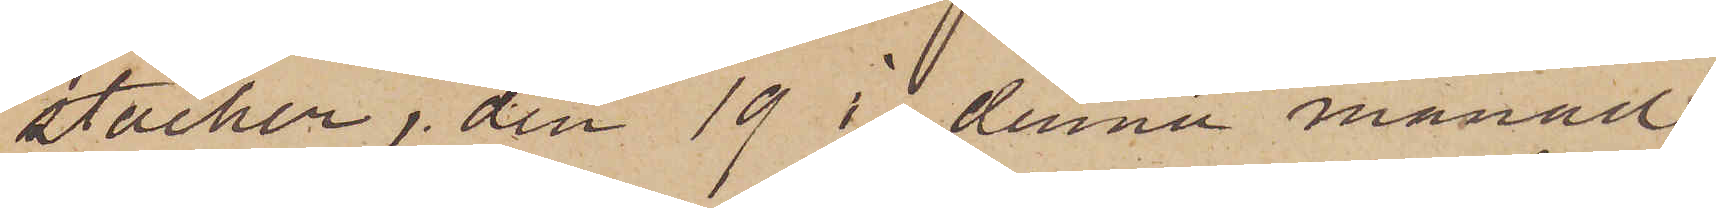stacher, den 19 i denna månad
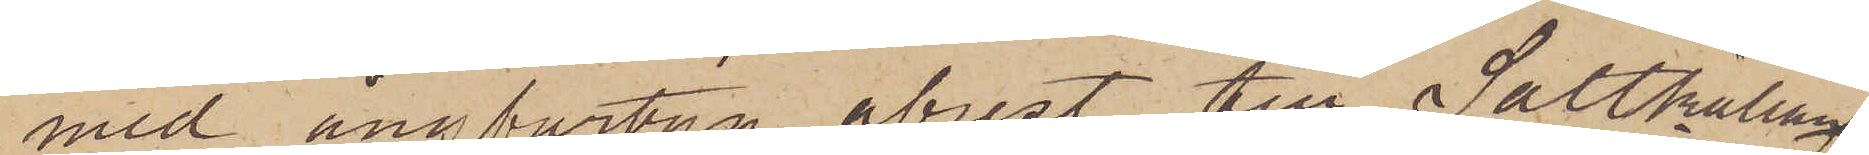med ångfartyg afrest till Saltkällan
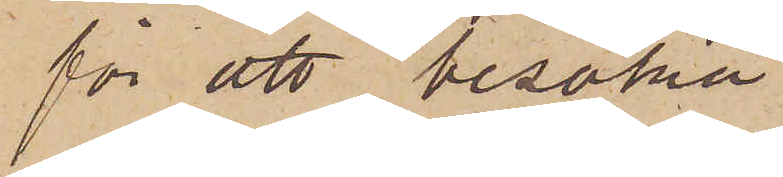för att besöka
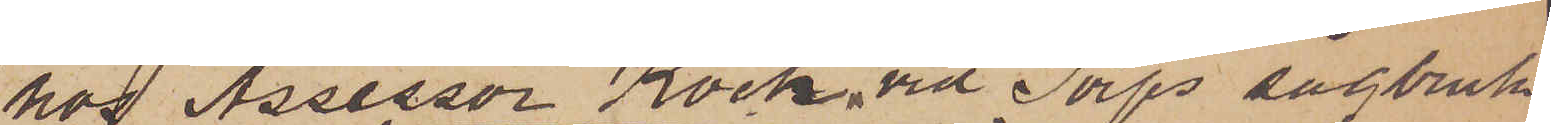hos Assessor Kock vid Torps sågbruk
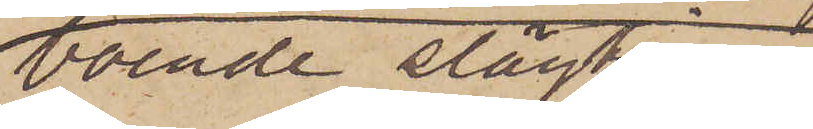boende slägtingar
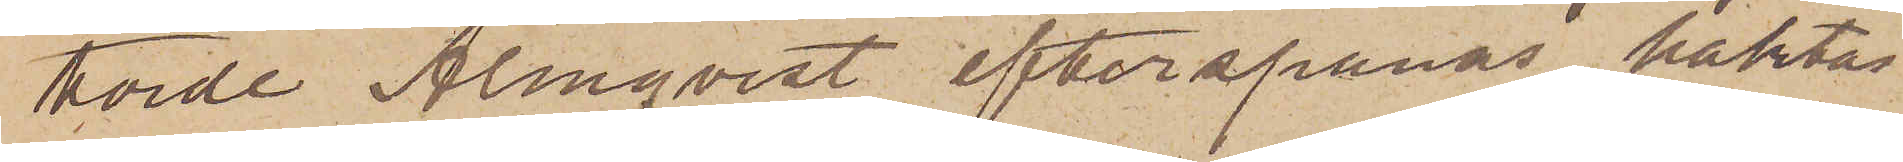torde Almqvist efterspanas, häktas
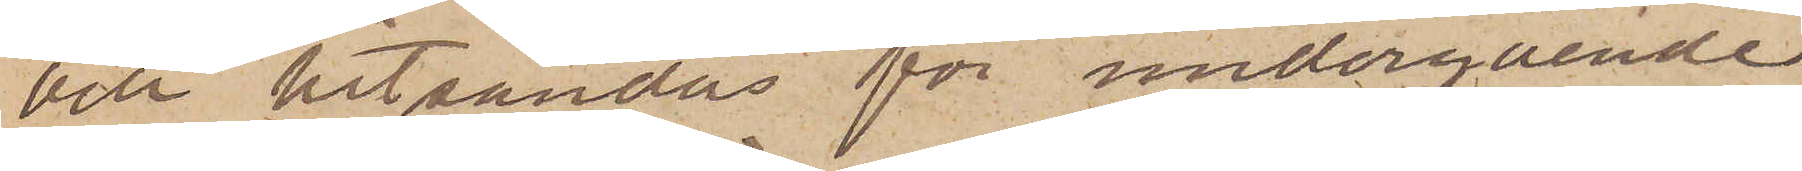vill hitsändas för undergående
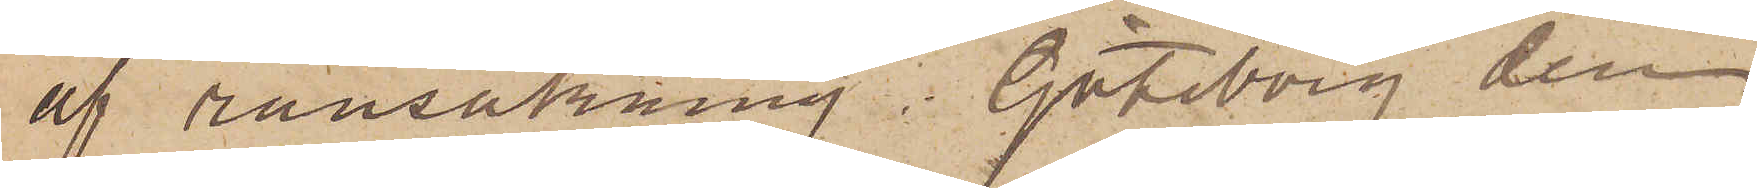af ransakning. Göteborg den
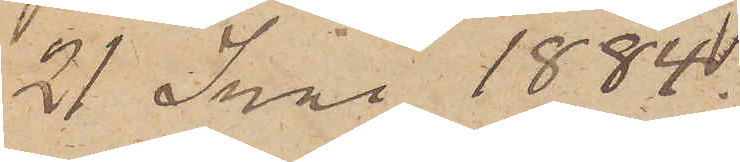21 Juni 1884.
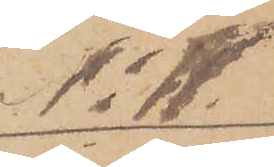No 11
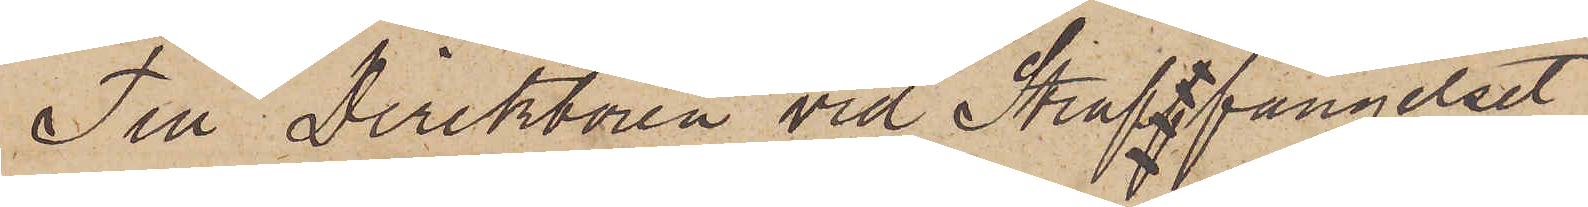Till Direktören vid Strafffängelset
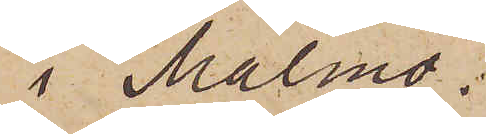i Malmö.
